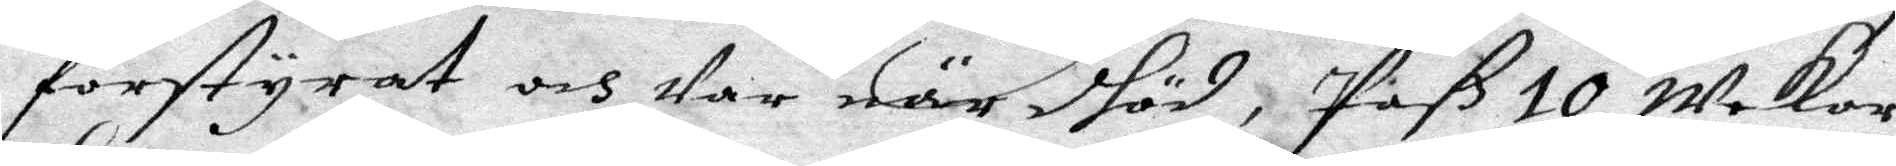forstyrat och war när dhöd, Påß 10 weckor
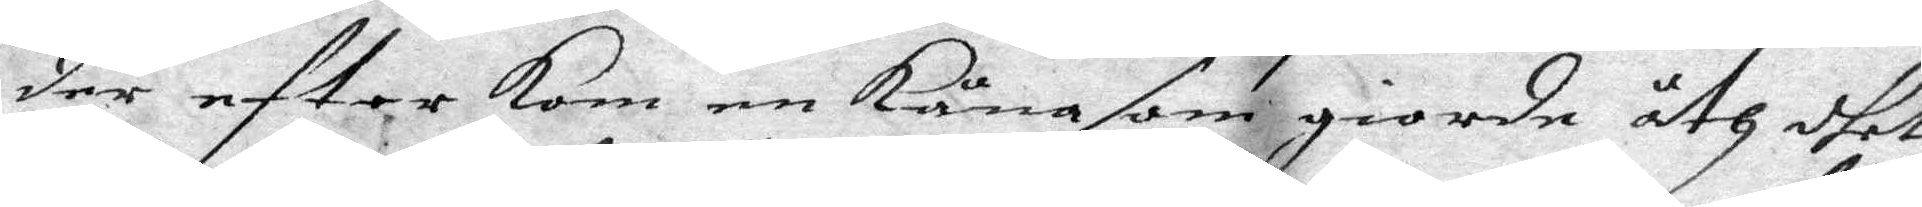der efter om en Käna som giorde åth dhet
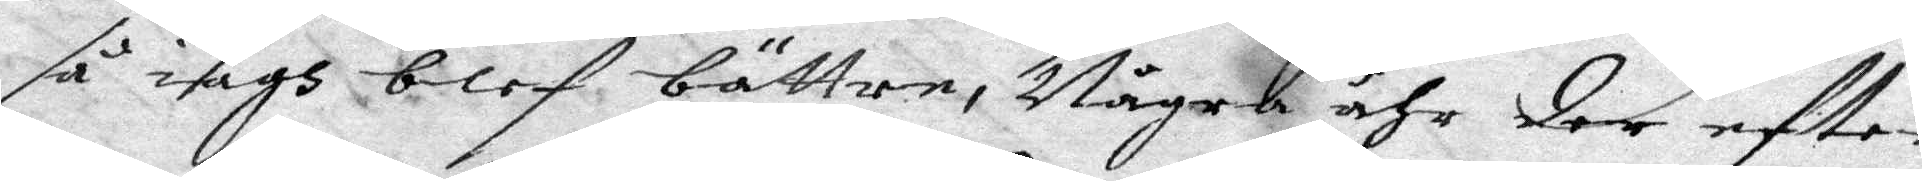så iagh blef bättre, Ngra åhr der eftter
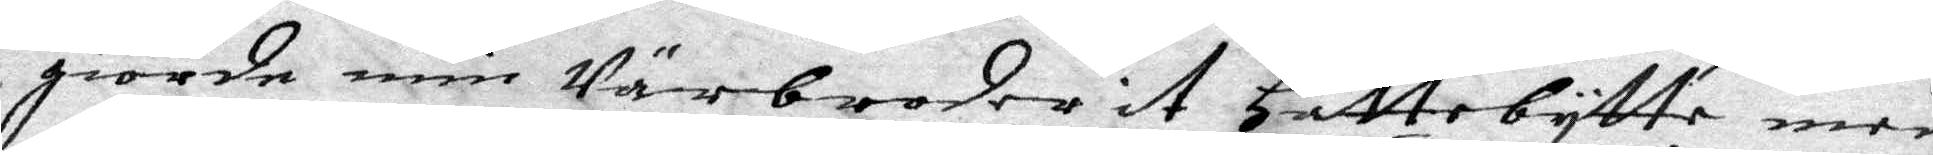giorde min Närbroder it Hattebytte med
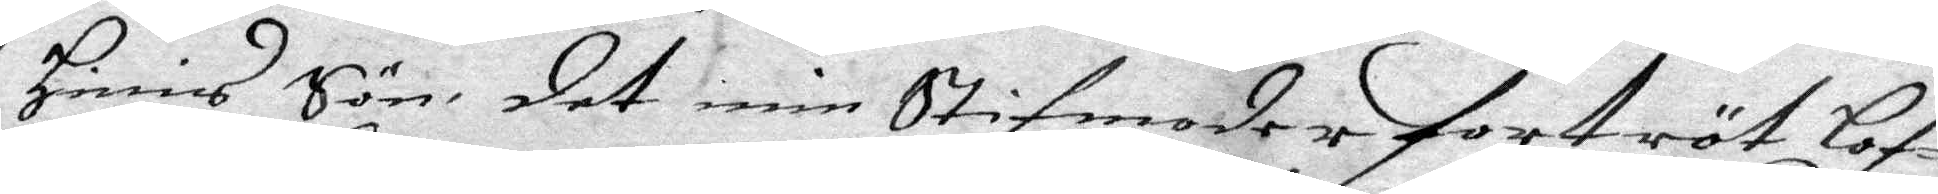Hinnis Son, det min Stifmoder fortröt lpf¬
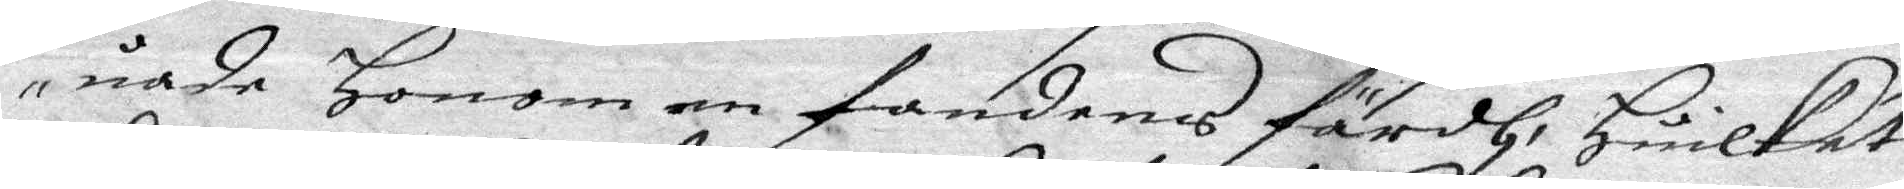uade Honom en fandens färdh, Huilket
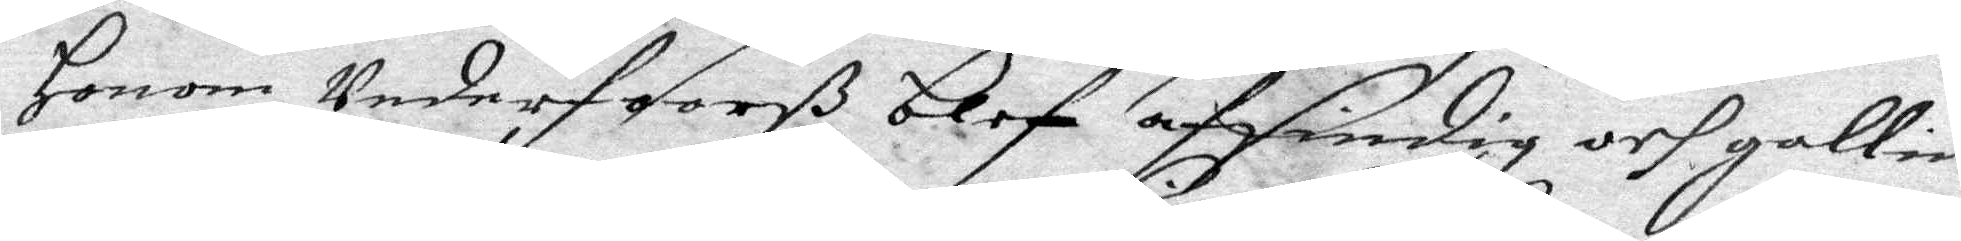Honom wederfoorß blef affindig och gallen
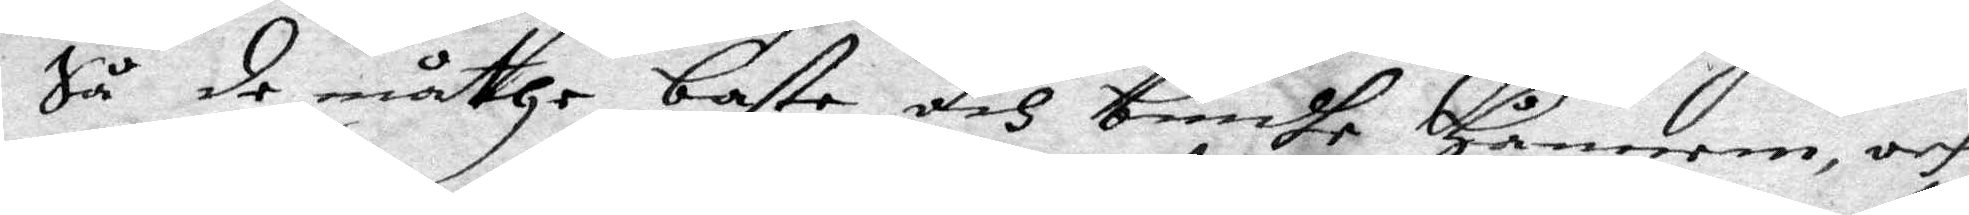Så de måtthe basta och bindha Honom, och
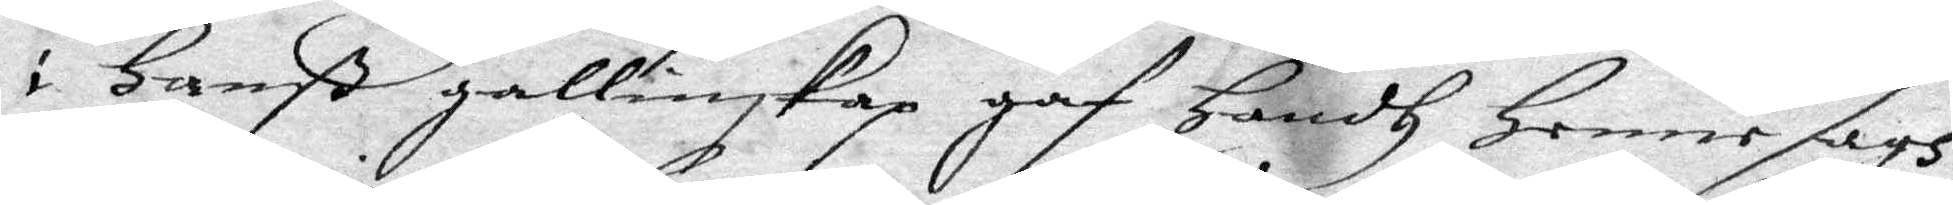i Hanß gallinskap gaf Handh Henne sags
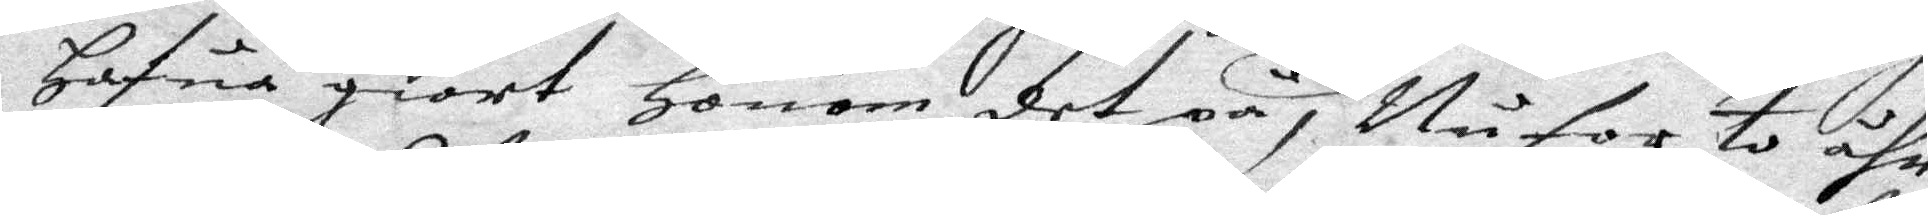Hafua giort Honom det på, Nu for to åhr
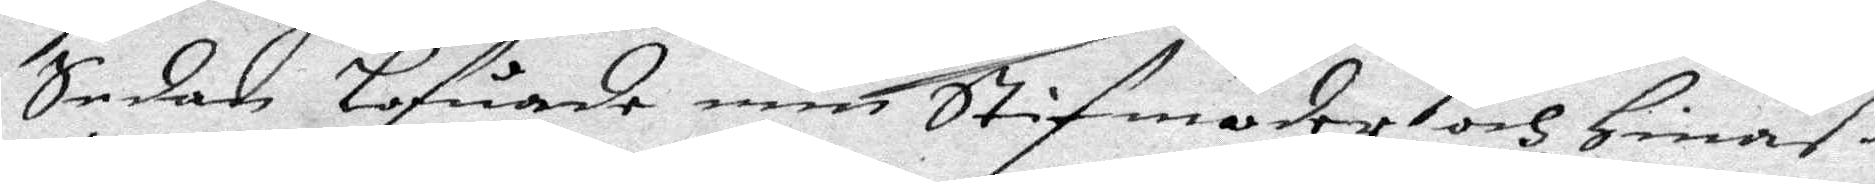Sedan lofuade min Syifmoder och Hinneß
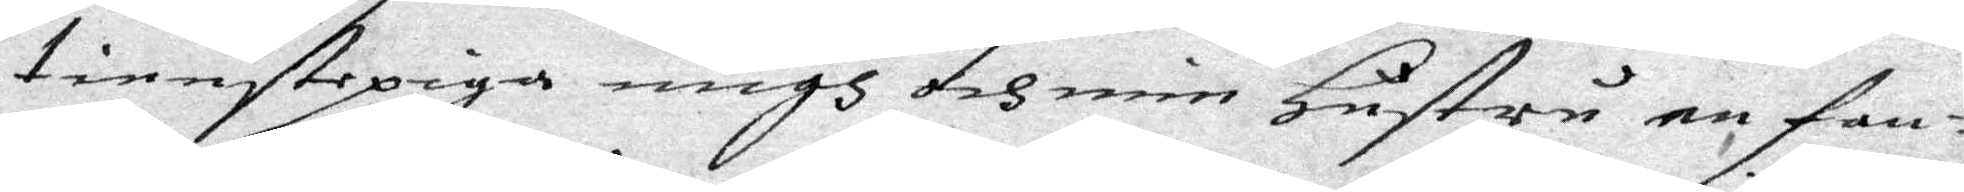tienstepiga migh och min Hustru en fan¬
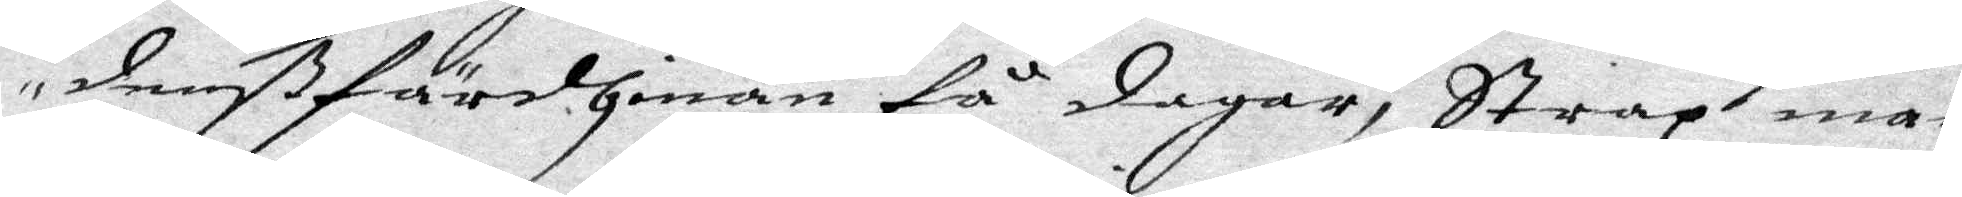denß färdh inan få dagar, Strax inan
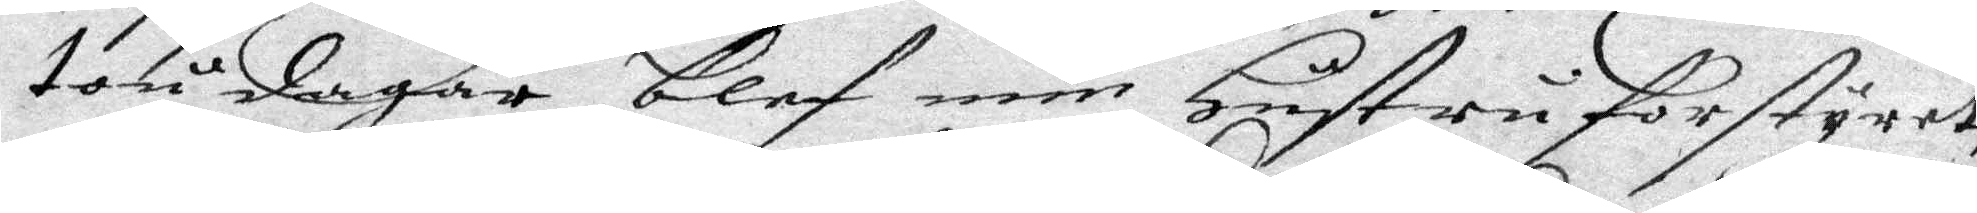tou dagar blef min Hustru forstyret,
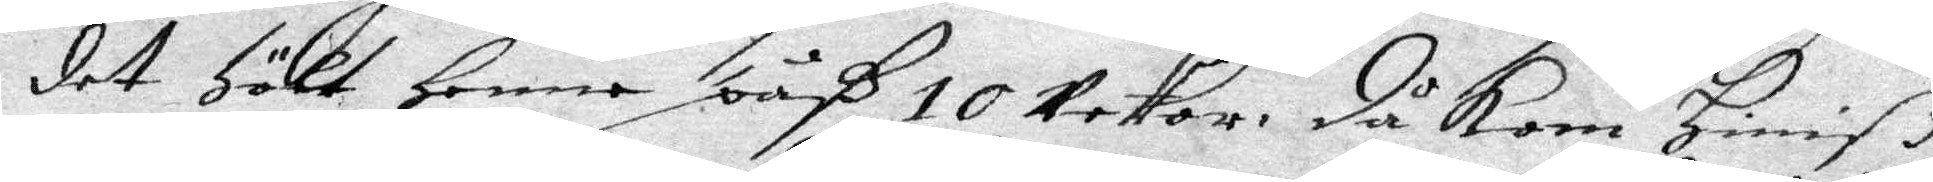det Hölt Hnne påß 10 weckor, då kom hinneß
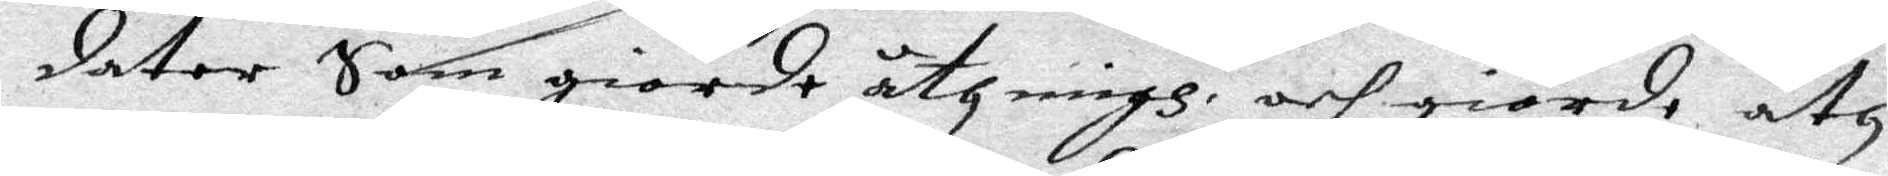dator Som giorde åth migh, och giorde åth
